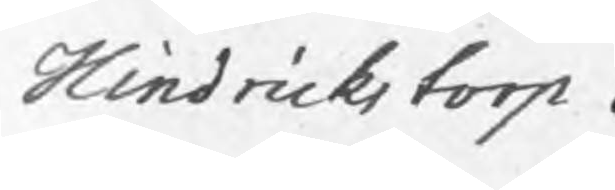Hindrickstorp.
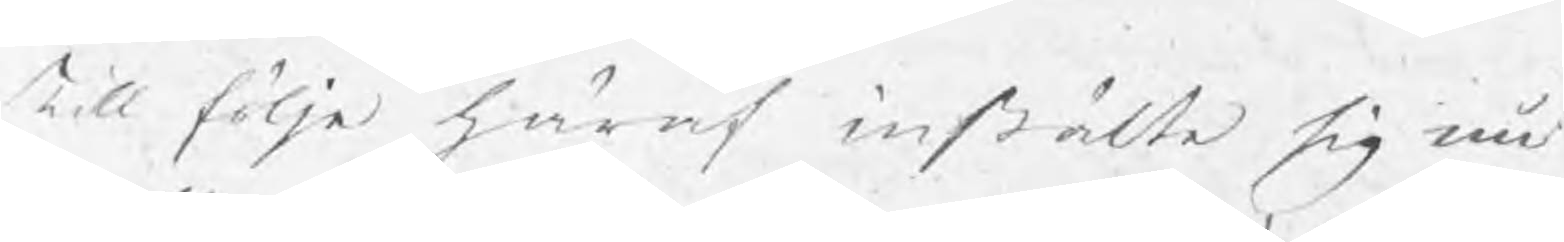Till följe häraf instälte sig nu
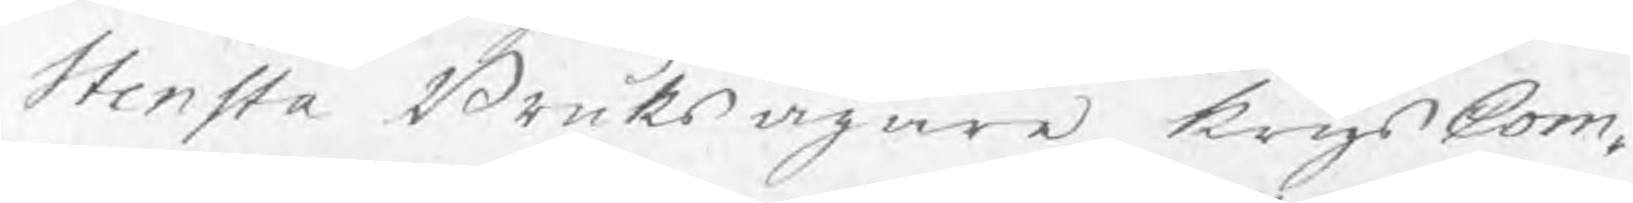Stensta Bruksägare krigsCom¬
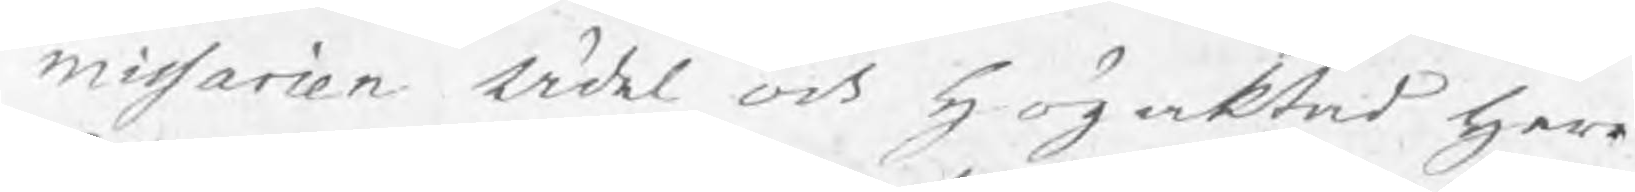missarien Ådal och högaktad herr
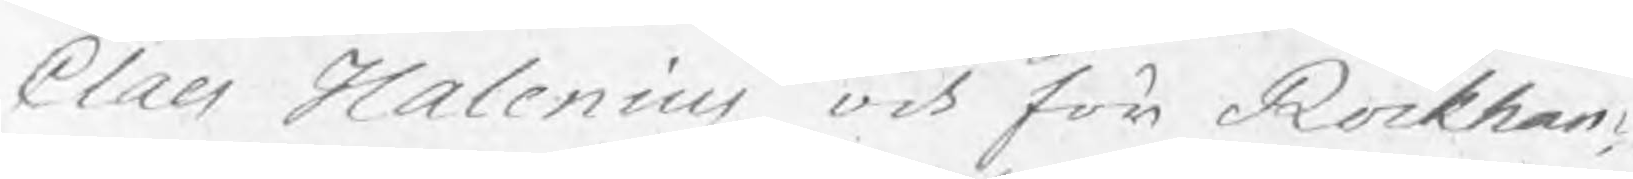Claes Halenius och för Rockham¬
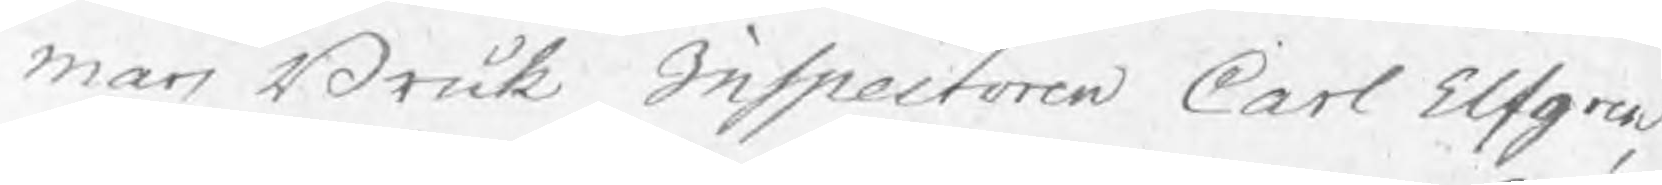mars Bruk Inspectoren Carl Elfgren,
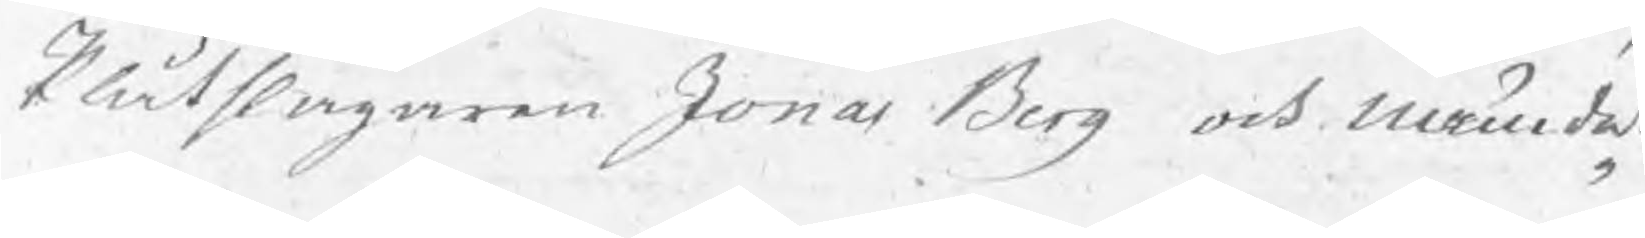Plåtslagaren Jonas Berg och nämde¬
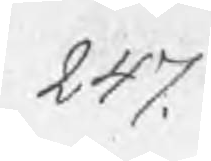247.
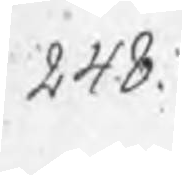248.
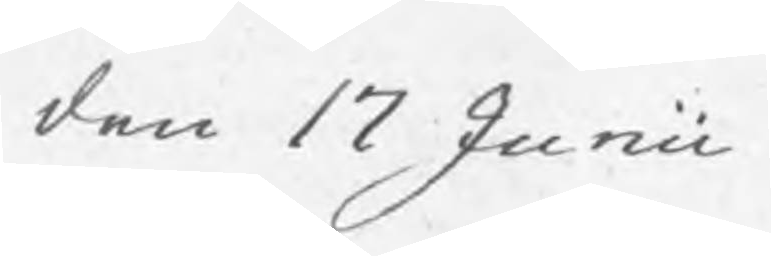den 17 Junii
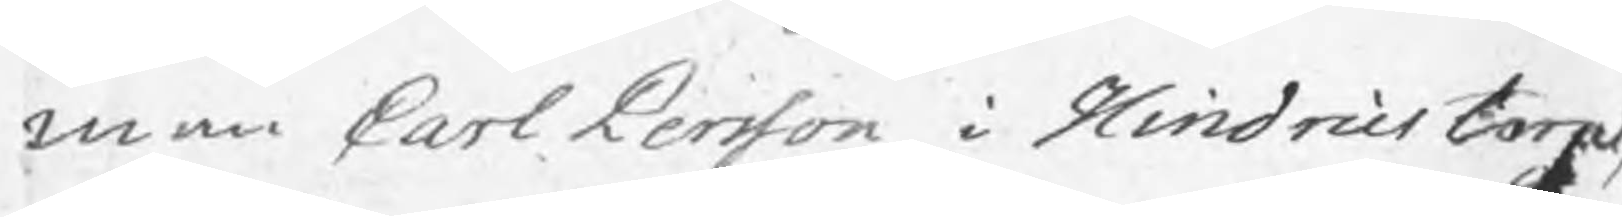man Carl Persson i Hindricstorp,
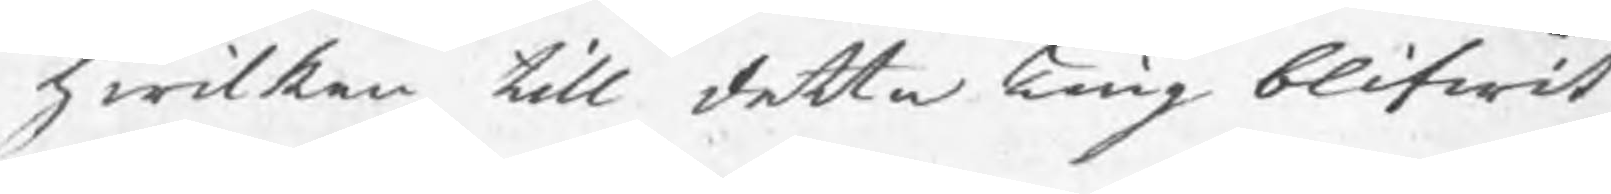hwilken till detta Ting blifwit
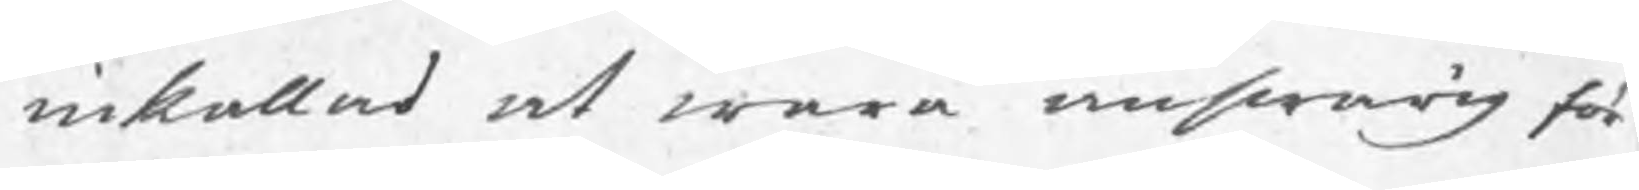inkallad at wara answarig för
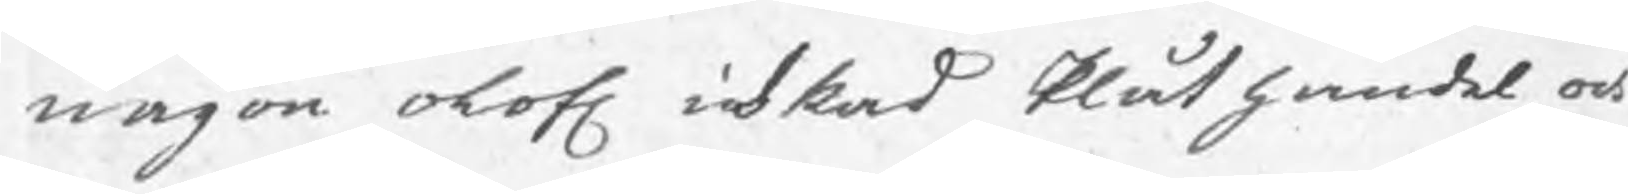någon olof. idkad Plåthandel, och
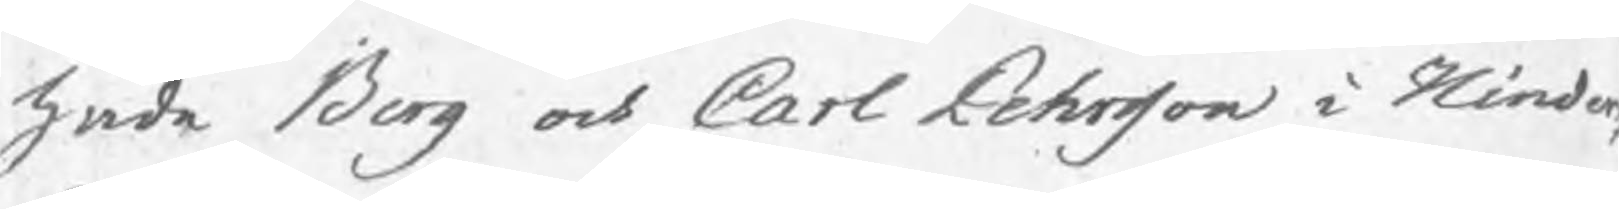hade Berg och Carl Pehrsson i Hinders¬
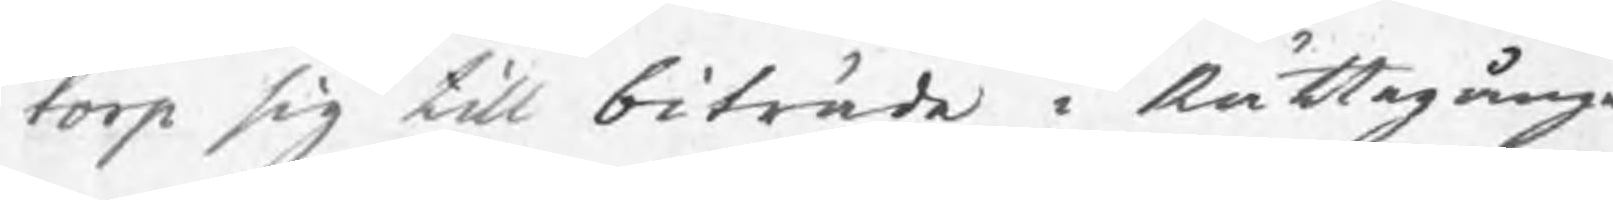torp sig till biträde i Rättegången
